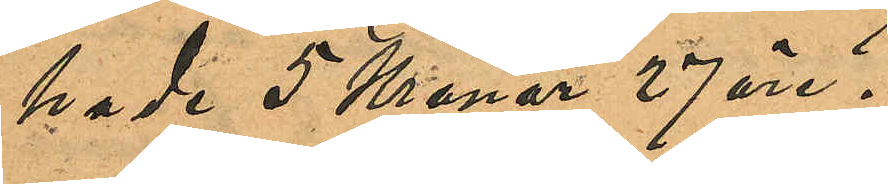hade 5 Kronor 27 öre.
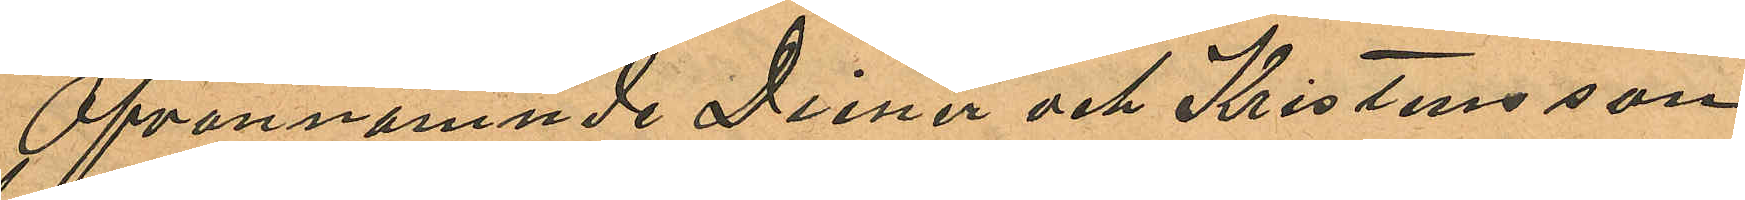Ofvannämnde Diener och Kristensson
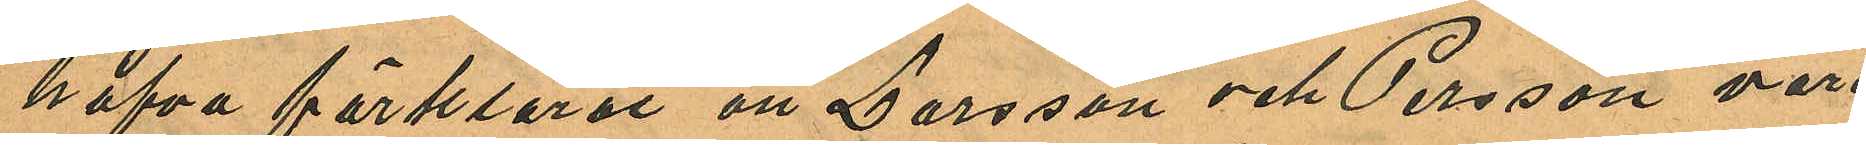hafva förklarat att Larsson och Persson vore
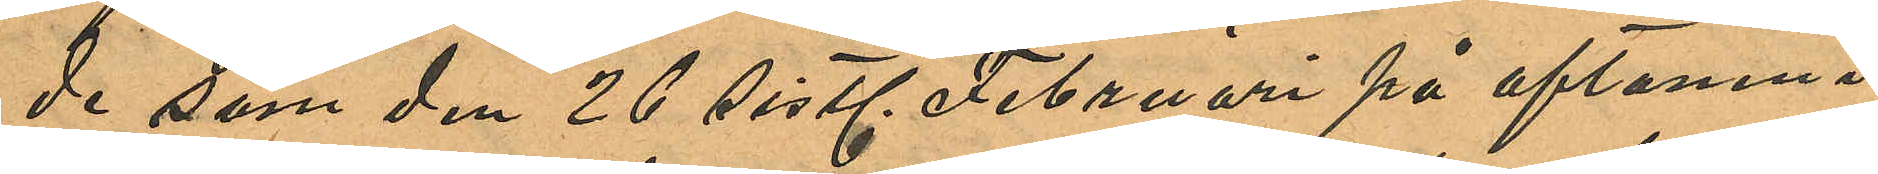de som den 26 sistl. Februari på aftonen i
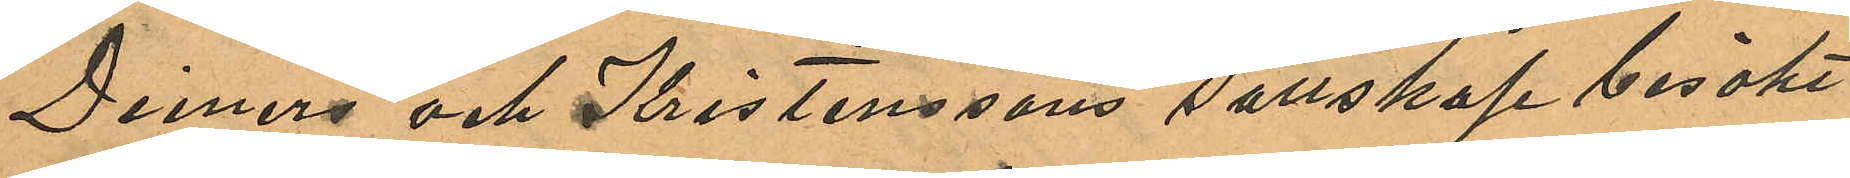Dieners och Kristenssons sällskap besökt
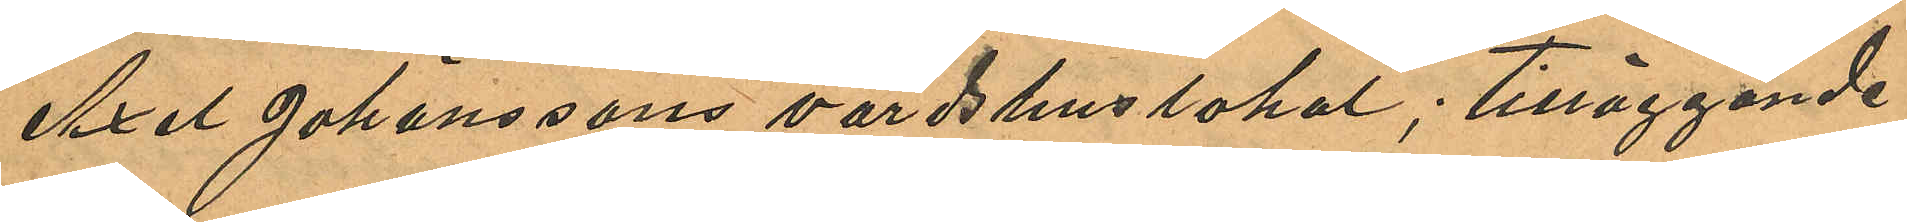Axel Johanssons värdshuslokal; tilläggande
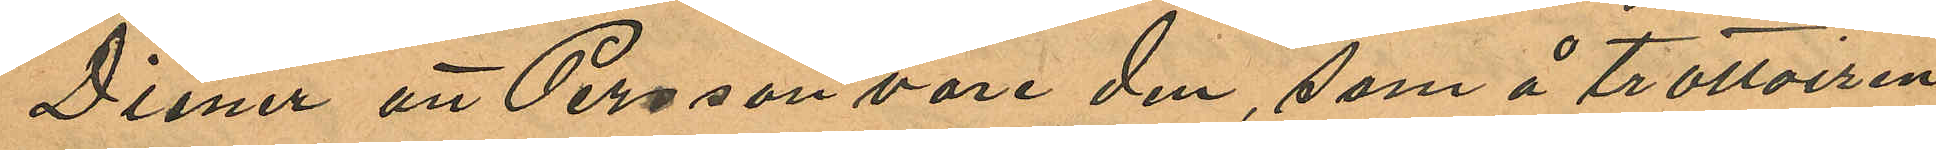Diener att Persson vore den, som å trottoiren
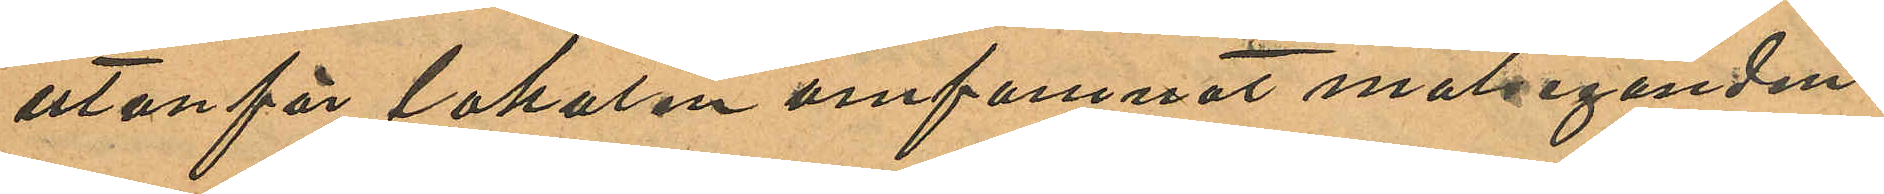utanför lokalen omfamnat målseganden.
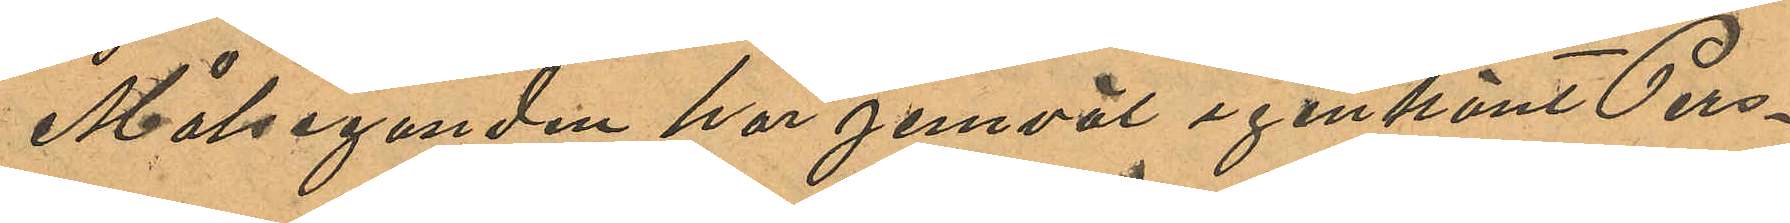Målseganden har jemväl igenkänt Pers¬
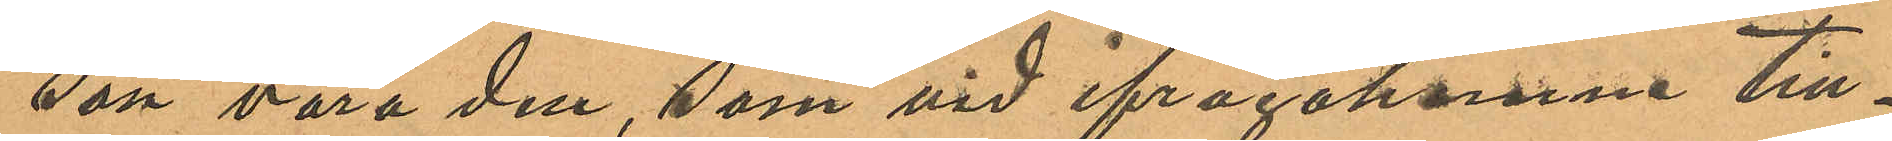son vara den, som vid ifrågakomne till¬
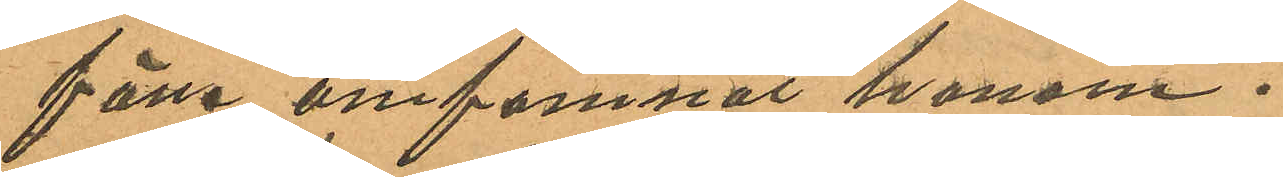fälle omfamnat honom.
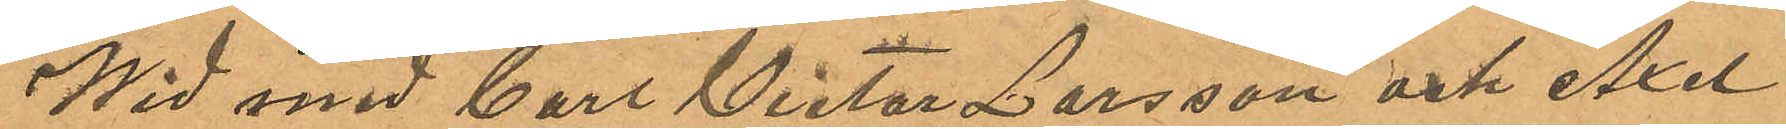Wid med Carl Victor Larsson och Axel
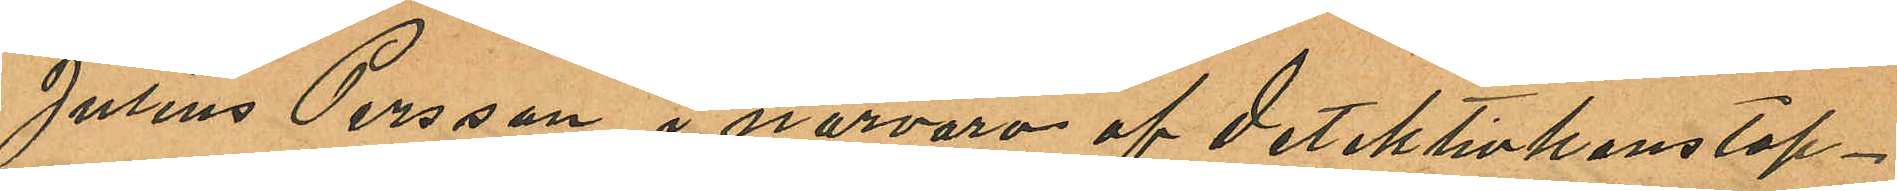Julius Persson i närvaro af detektivkonstap¬
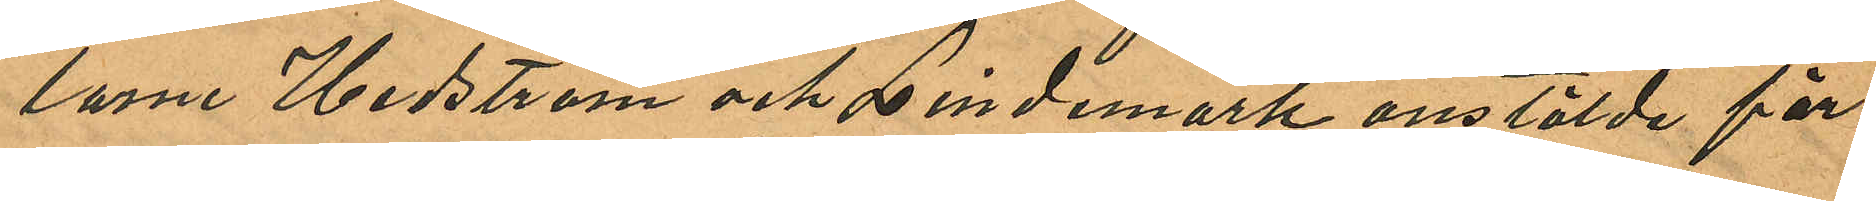larne Hedström och Lindemark anstälde för¬
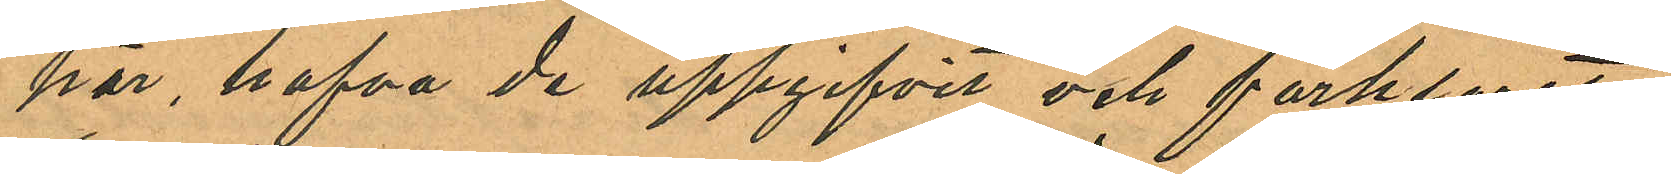hör, hafva de uppgifvit och förklarat:
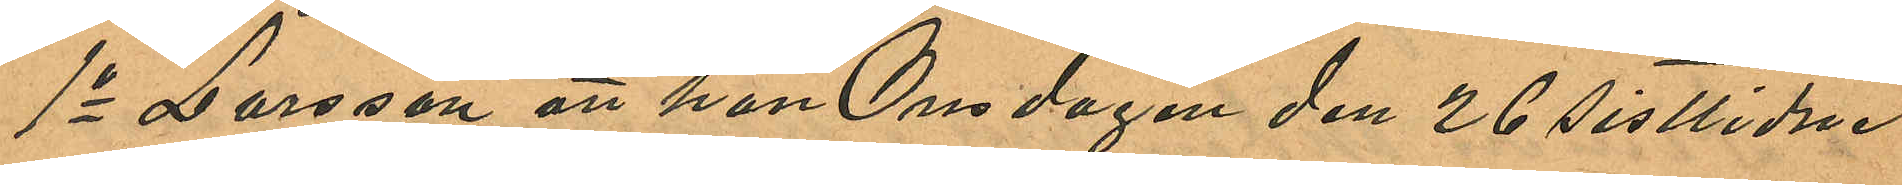1o Larsson att han Onsdagen den 26 sistlidne
